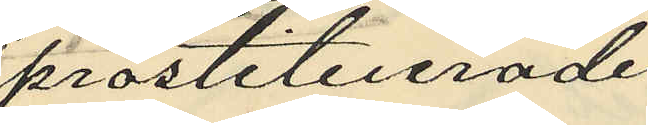prostituerade
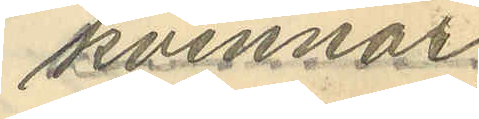kvinnor
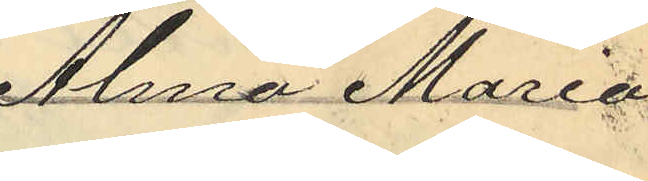Alma Maria
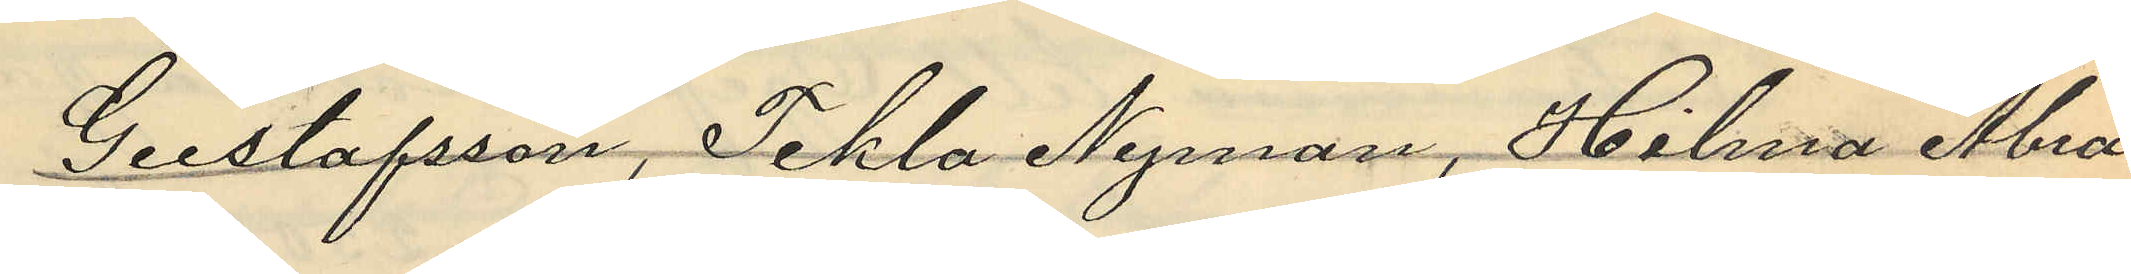Gustafsson, Tekla Nyman, Hilma Abra¬
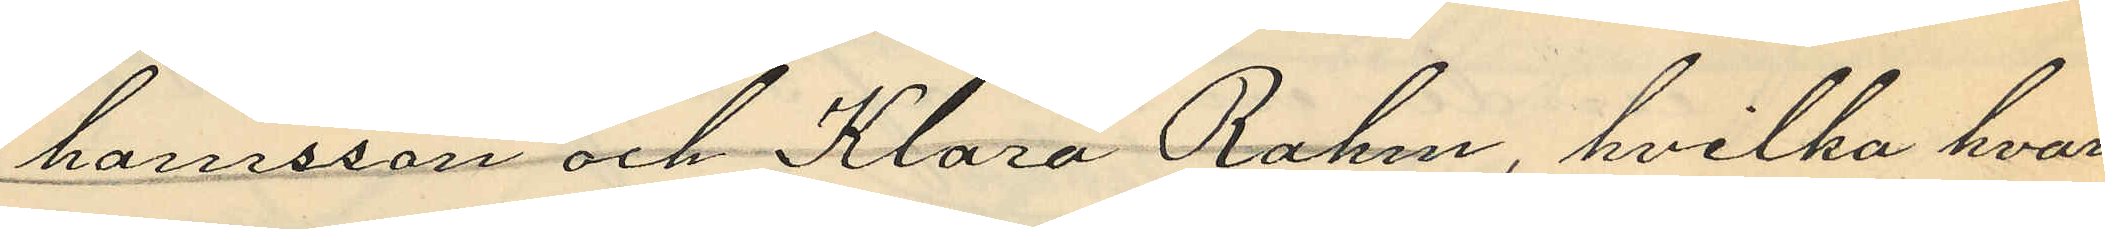hamsson och Klara Rahm, hvilka hvar¬
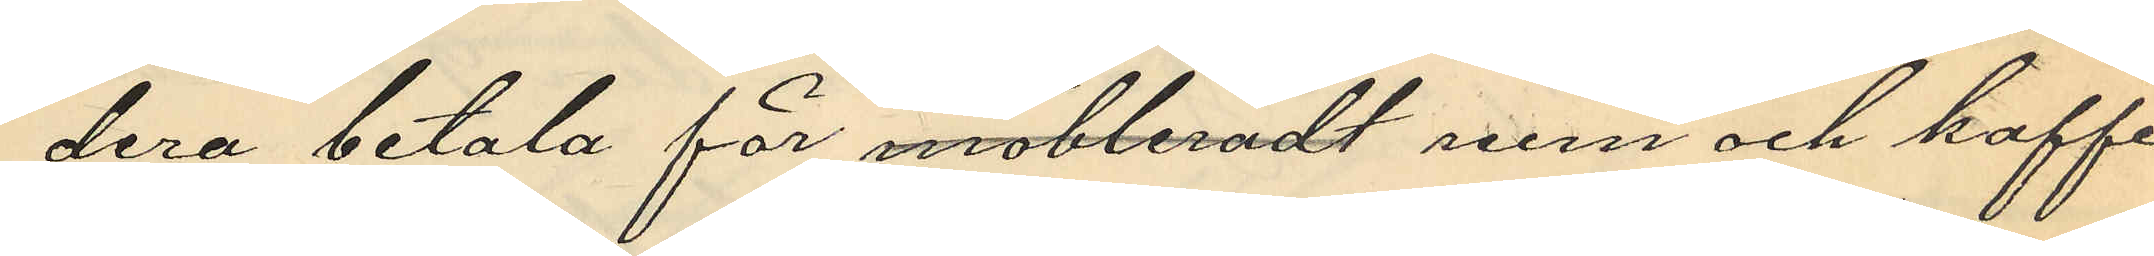dera betala för möbleradt rum och kaffe
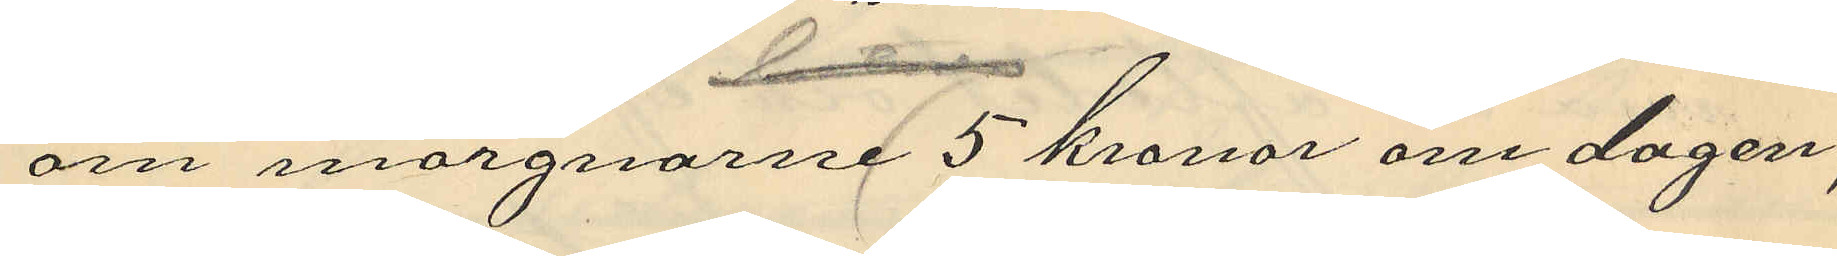om morgnarne 5 kronor om dagen;
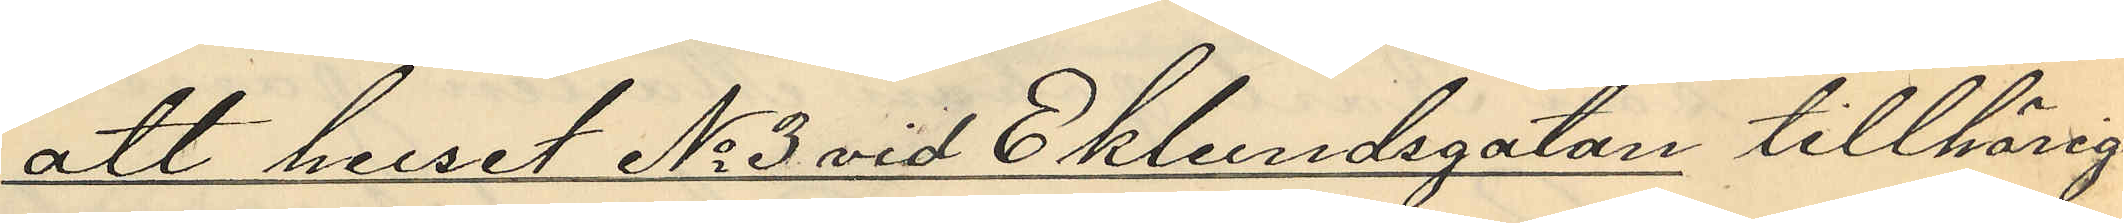att huset No 3 vid Ekelundsgatan tillhörigt
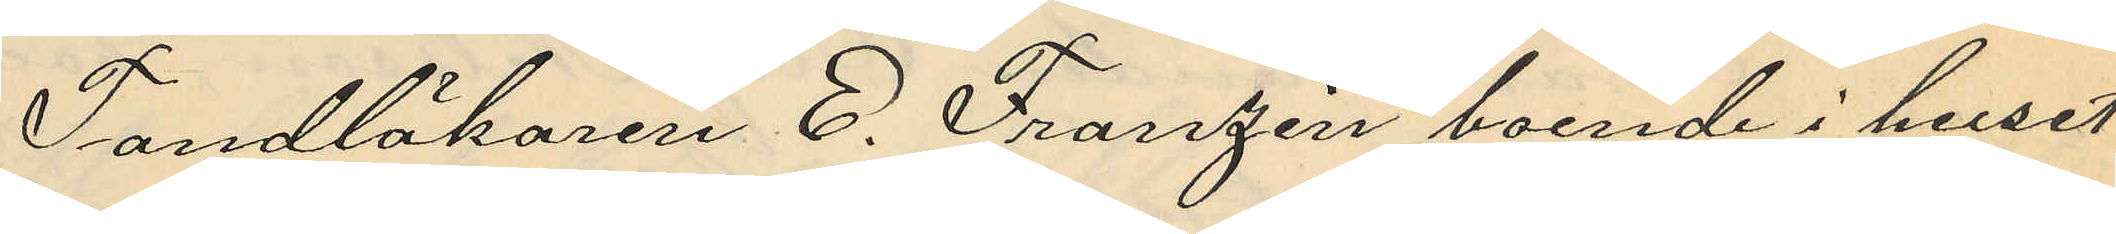Tandläkaren E. Franzén boende i huset
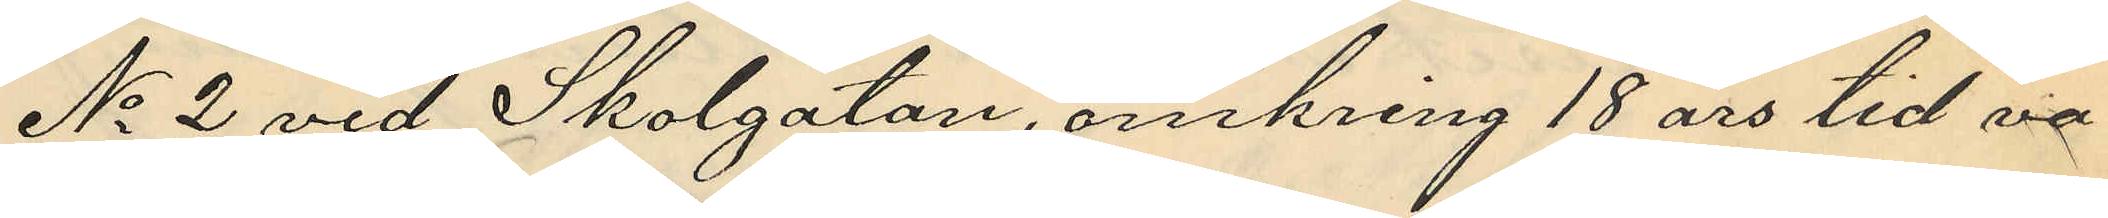No 2 vid Skolgatan, omkring 18 års tid va¬
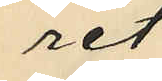rit
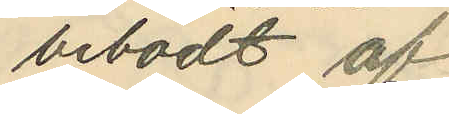bebodt af
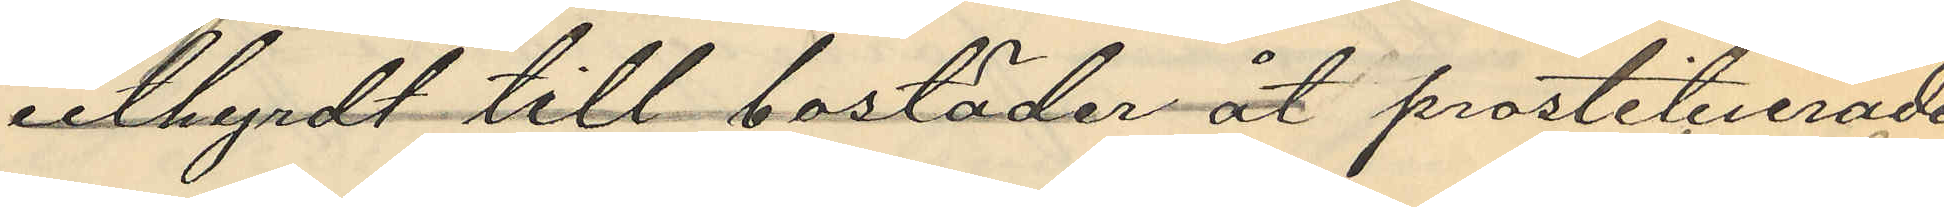uthyrdt till bostäder åt prostituerade
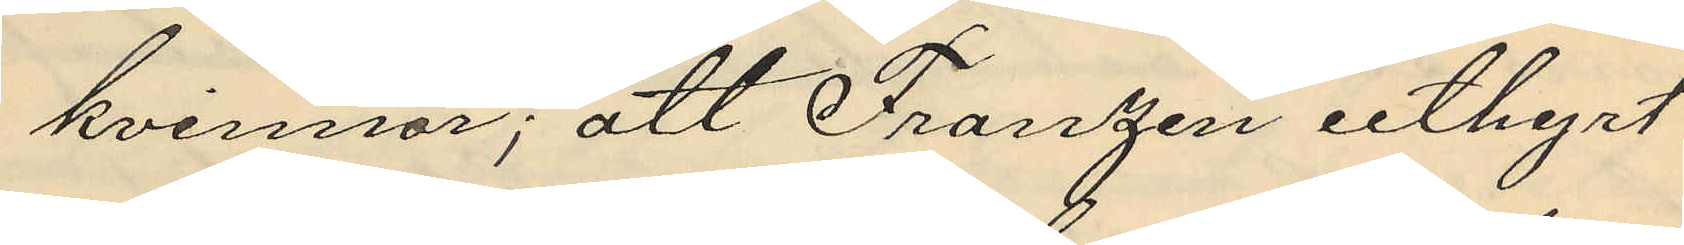kvinnor; att Franzen uthyrt
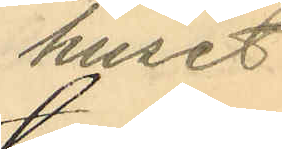huset
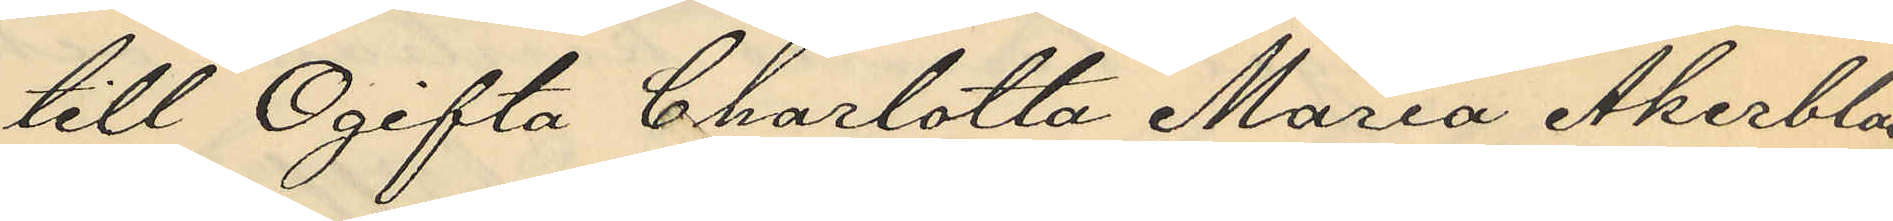till Ogifta Charlotta Maria Åkerblad,
